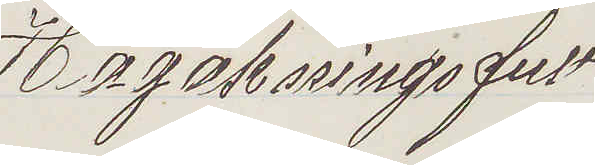Högaktningsfult
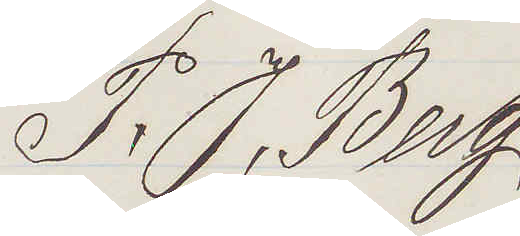P. J. Berg
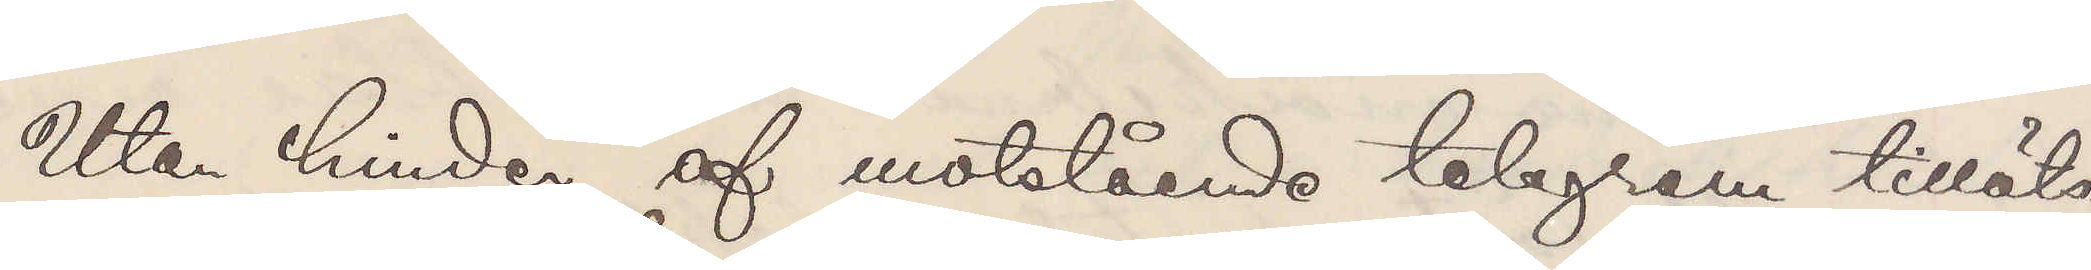Utan hinder af motstående telegram tilläts
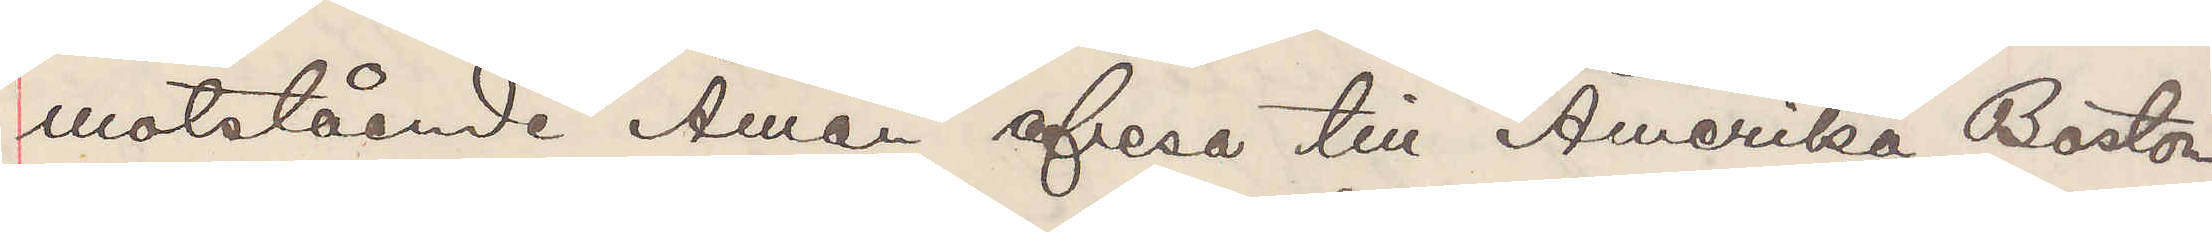motstående Åman afresa till Amerika, Boston
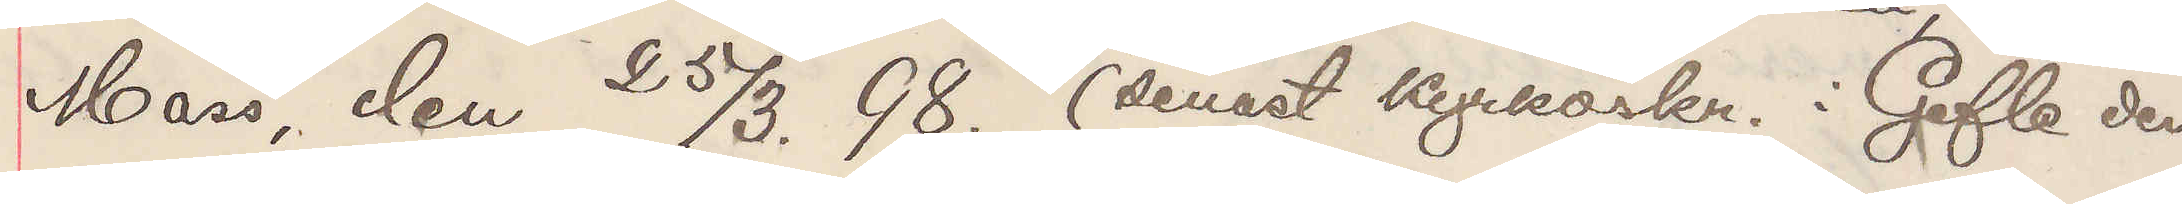Mars, den 25/3. 98. (senast kyrkoskr. i Gefle der
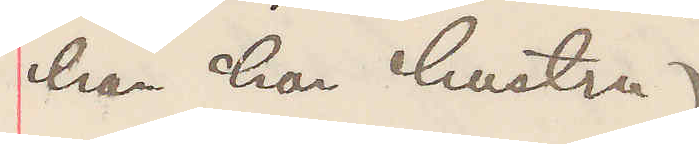han har hustru).
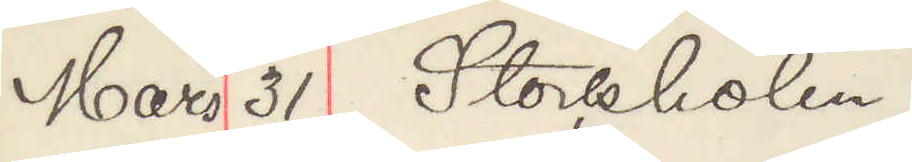Mars 31 Stockholm.
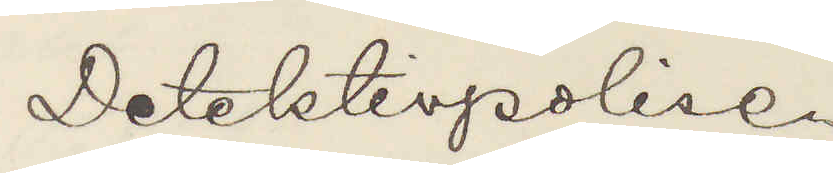Detektivpolisen
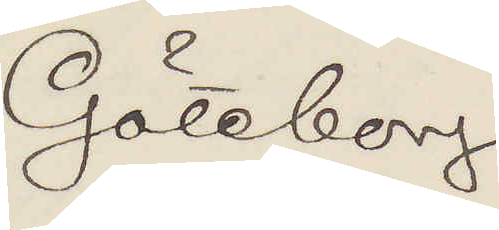Göteborg
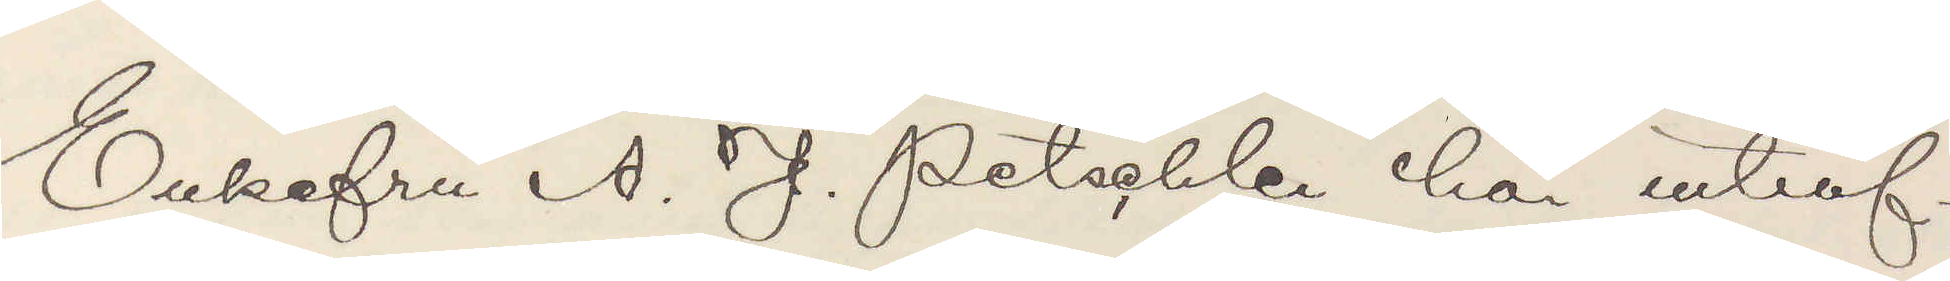Enkefru A. J. Petschler bör inträf¬
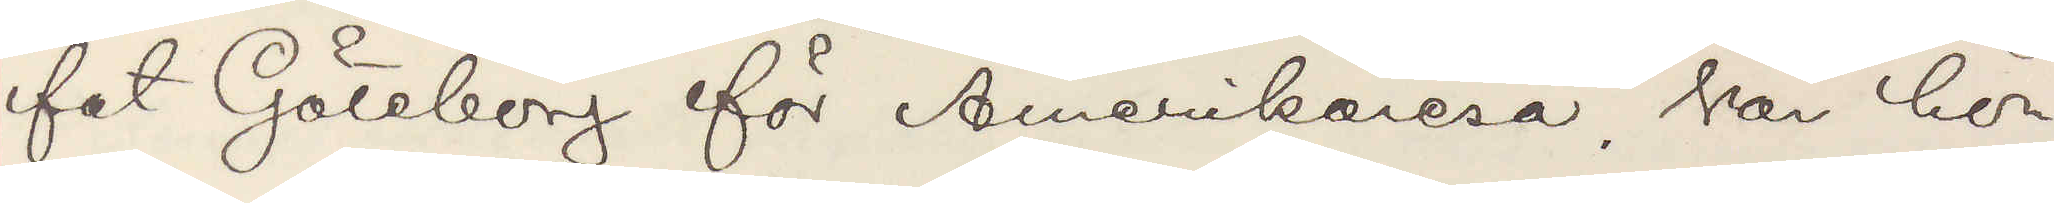fat Göteborg för Amerikaresa, har hon
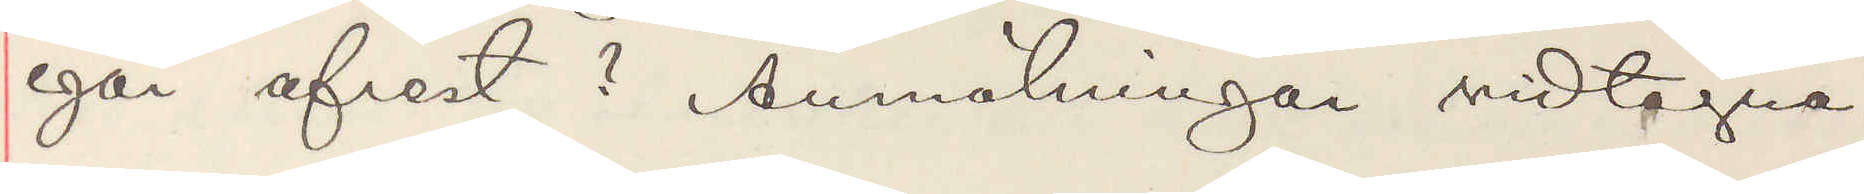igår afrest? Anmälningar vidtagna.
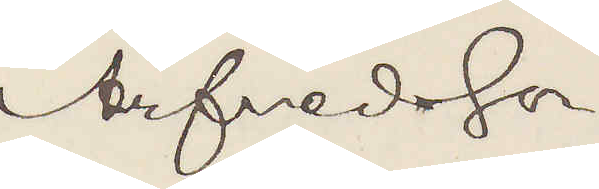Arfvedsson
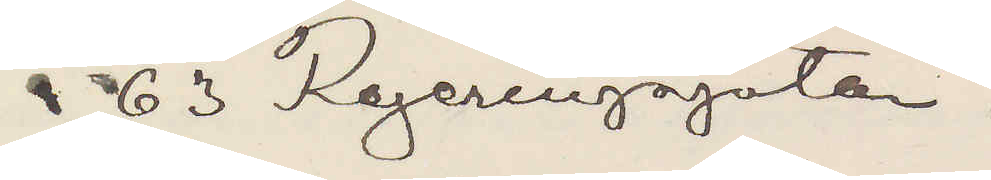å 63 Regeringsgatan.
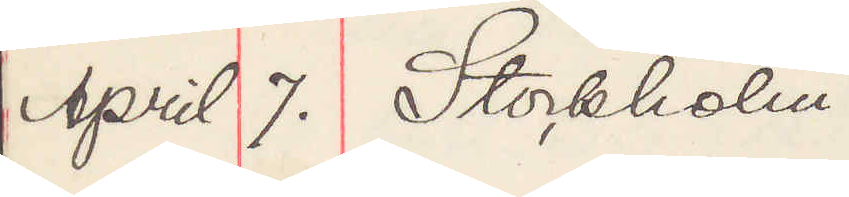April 7. Stockholm.
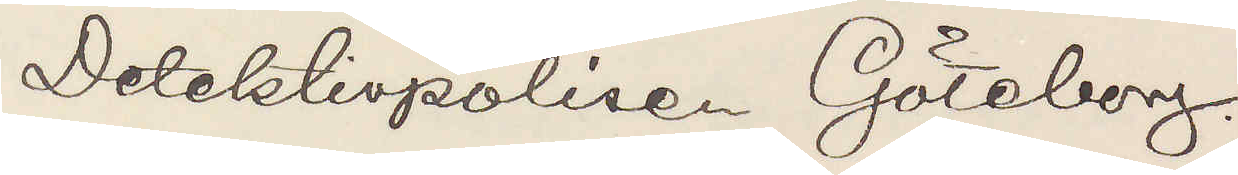Detektivpolisen Göteborg.
